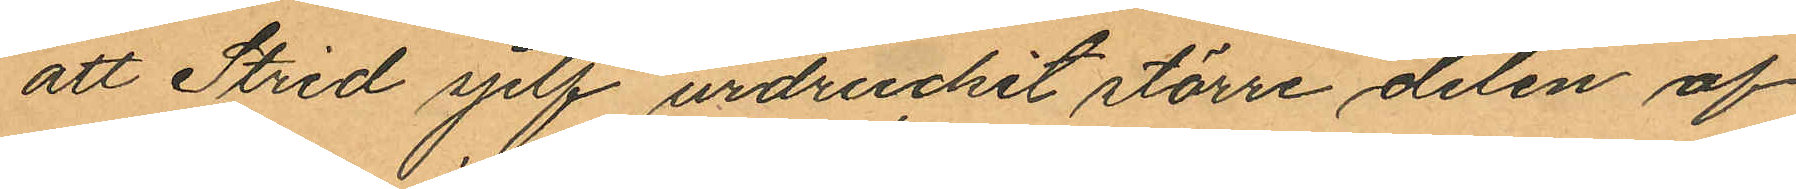att Strid sjelf urdruckit större delen af
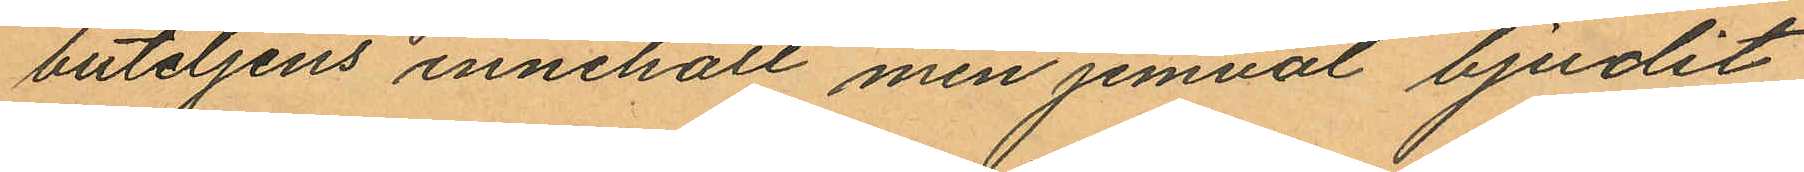buteljens innehåll men jemväl bjudit
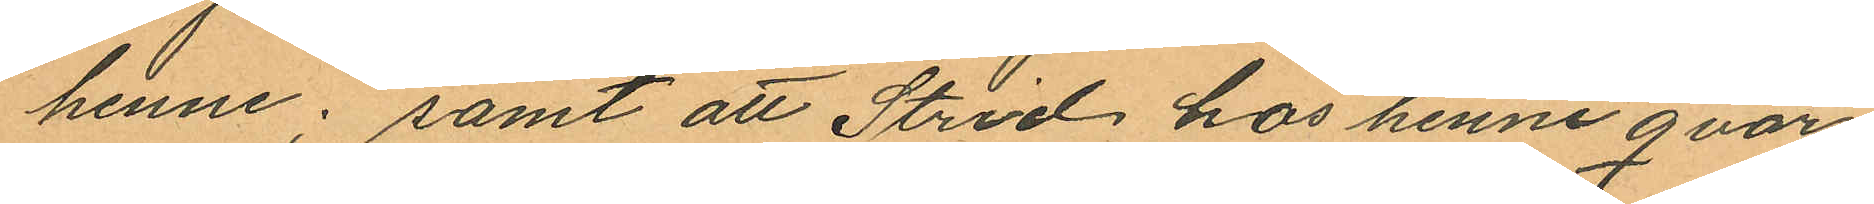henne; samt att Strid hos henne qvar¬
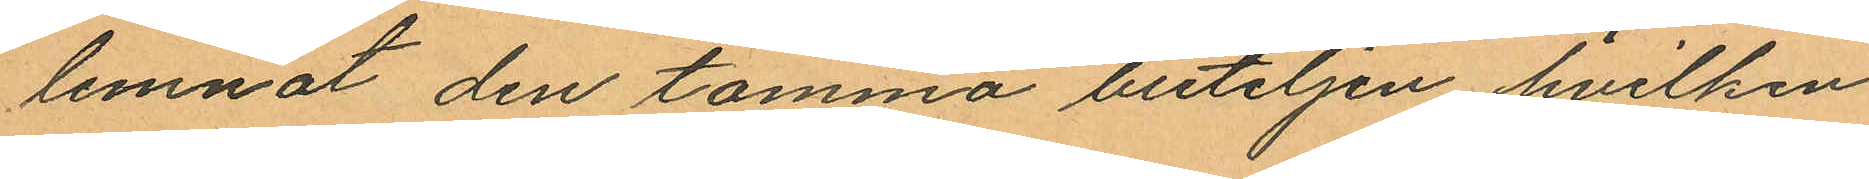lemnat den tomma buteljen hvilken
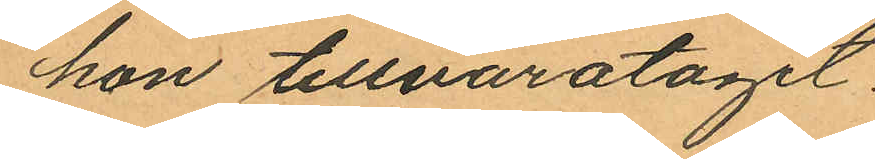hon tillvaratagit.
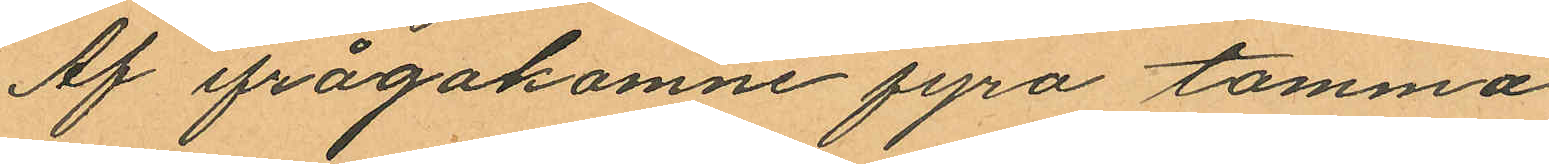Af ifrågakomne fyra tomma
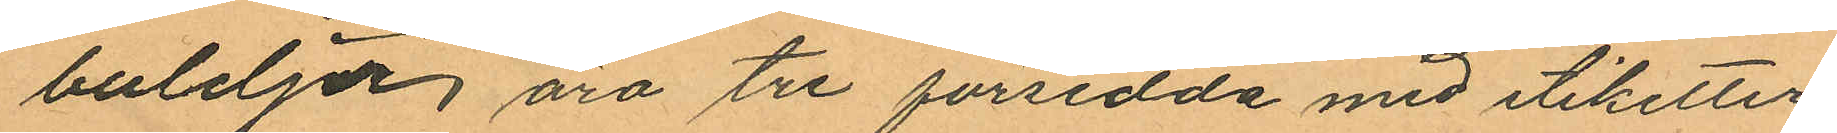buteljer, äro tre försedda med etiketter
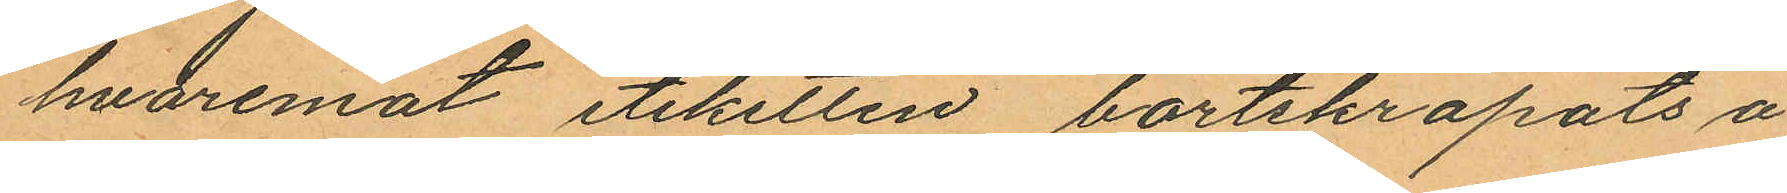hvaremot etiketten bortskrapats å
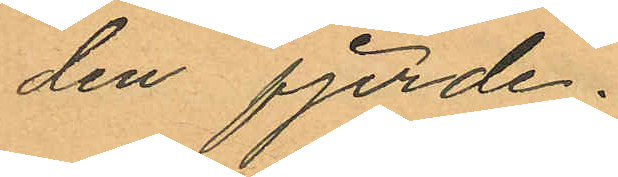den fjerde.
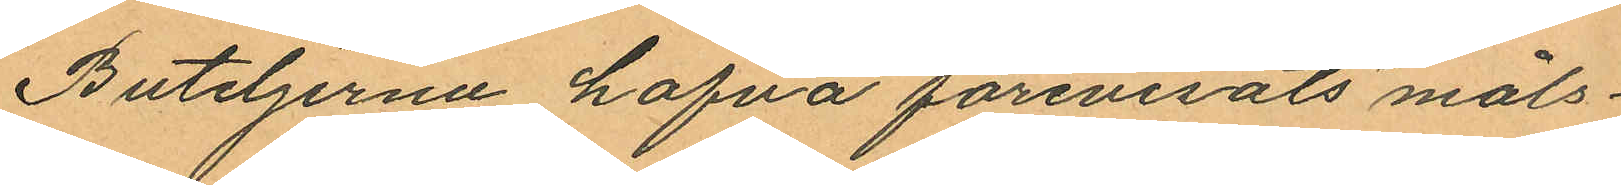Buteljerna hafva förevisats måls¬
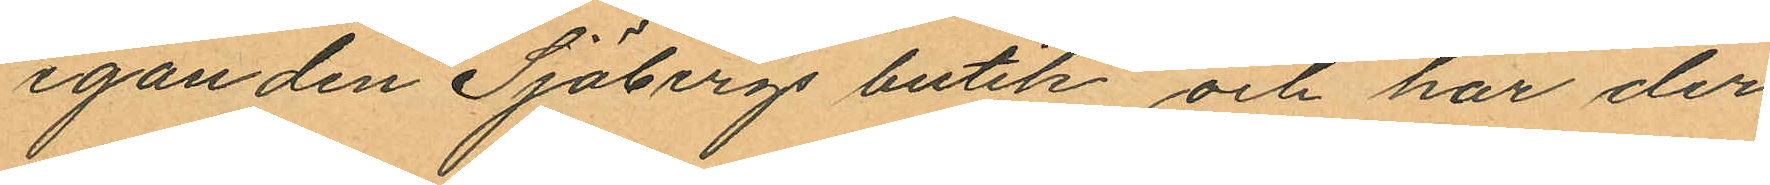eganden Sjöbergs butik, och har der¬
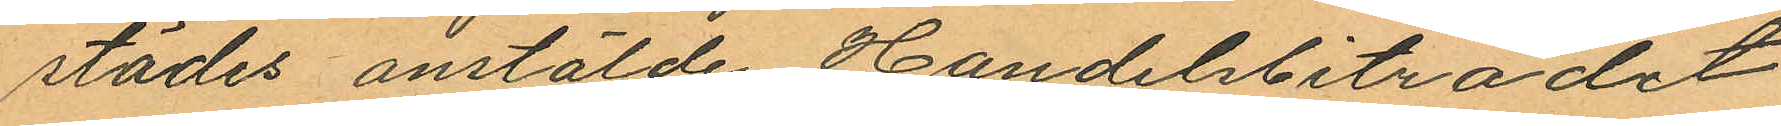städes anstälde Handelsbiträdet
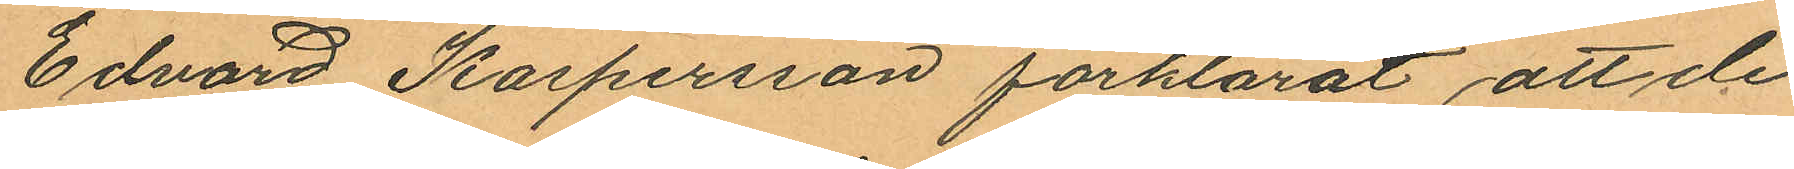Edvard Kaspersson förklarat att de
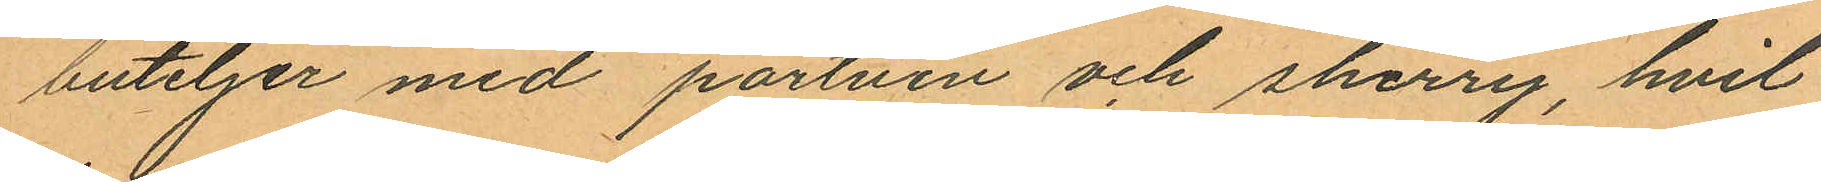buteljer med portvin och sherry, hvil¬
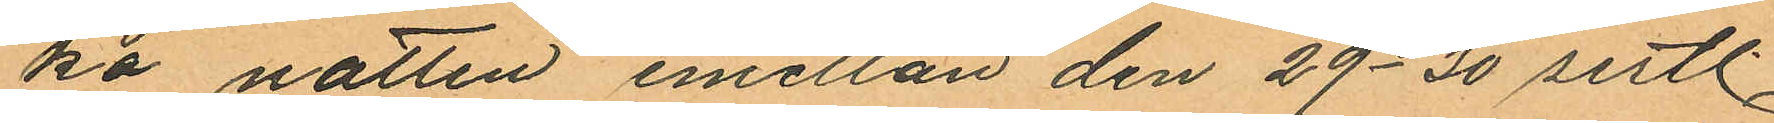ka natten emellan den 29-30 sistl.
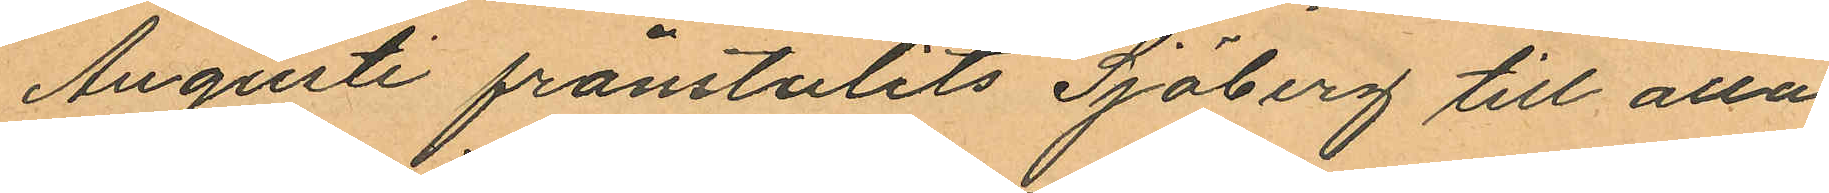Augusti frånstulits Sjöberg till alla
